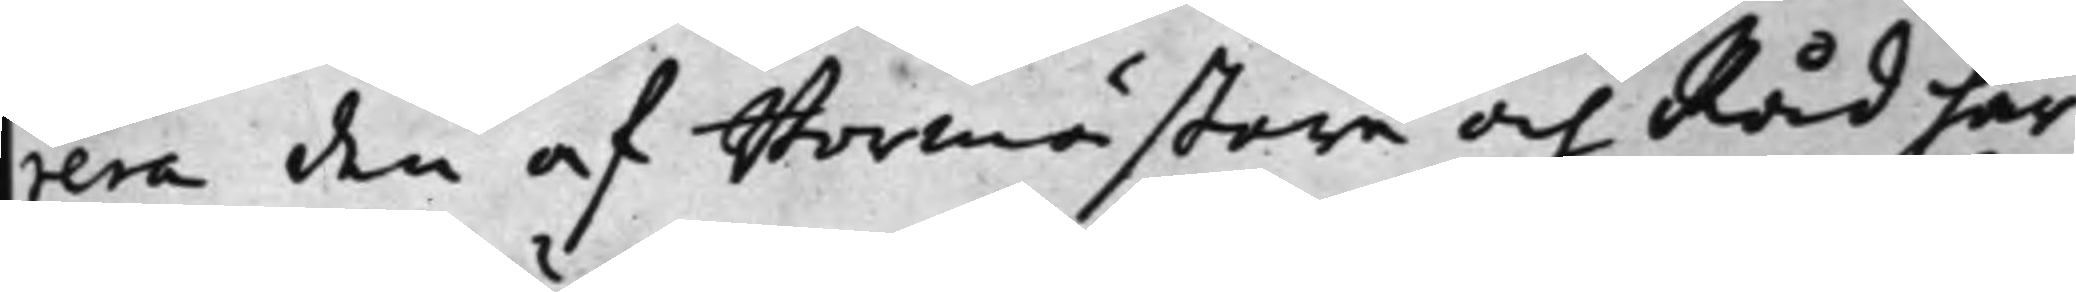rera den af Stormästare och Råd här
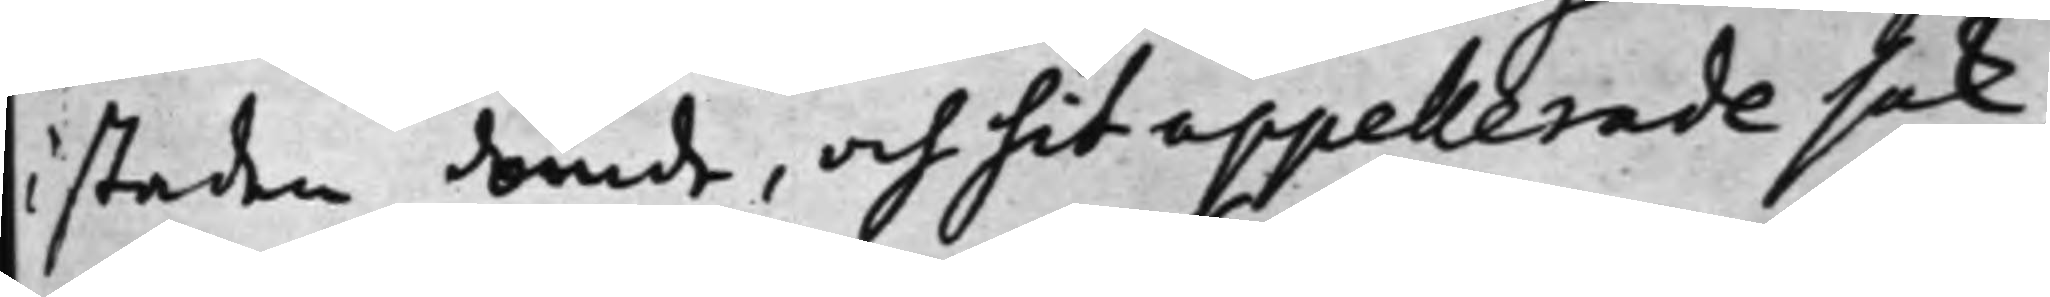i staden dömde, och hit appellerade sak,
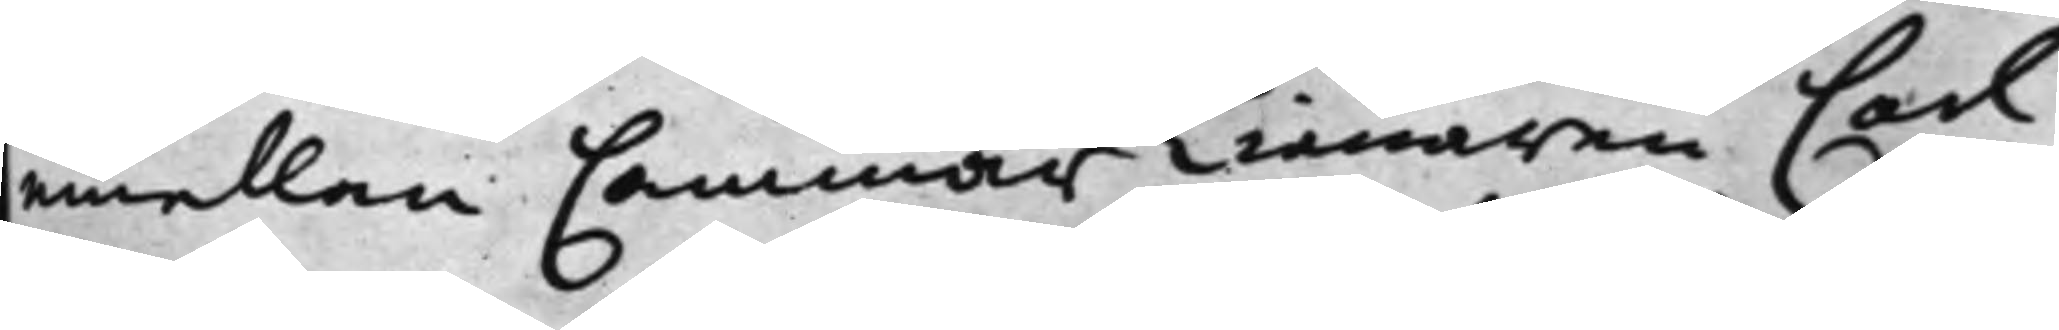emellan CammarTiänaren Carl
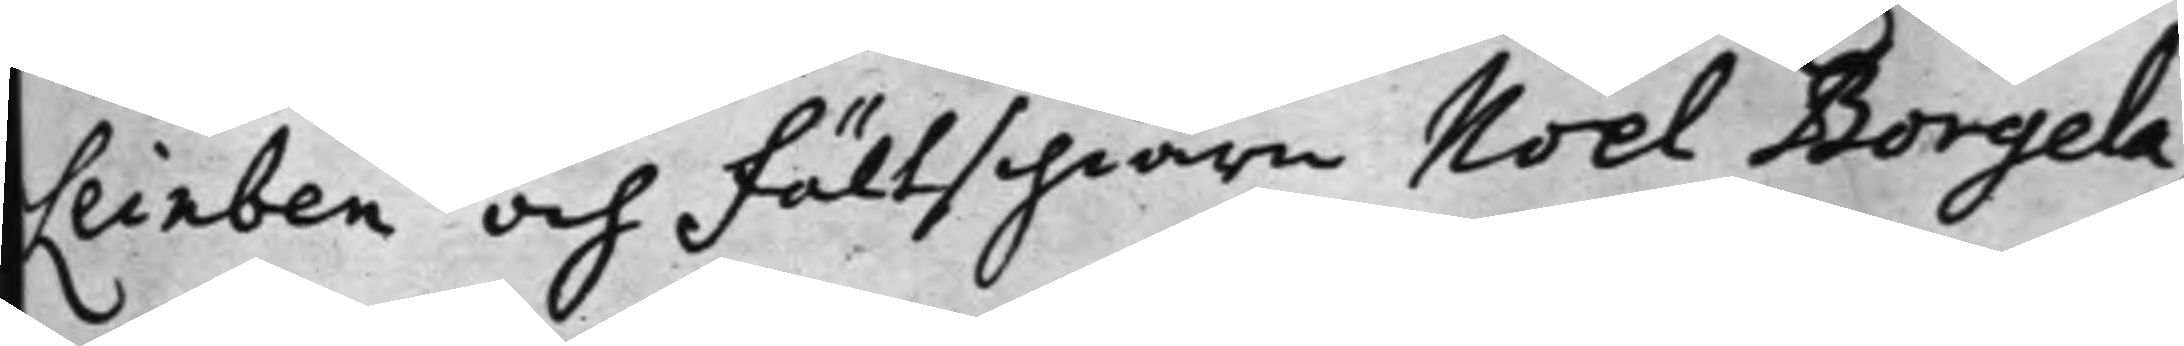Leinben och Fältschiärn Noel Borgela,
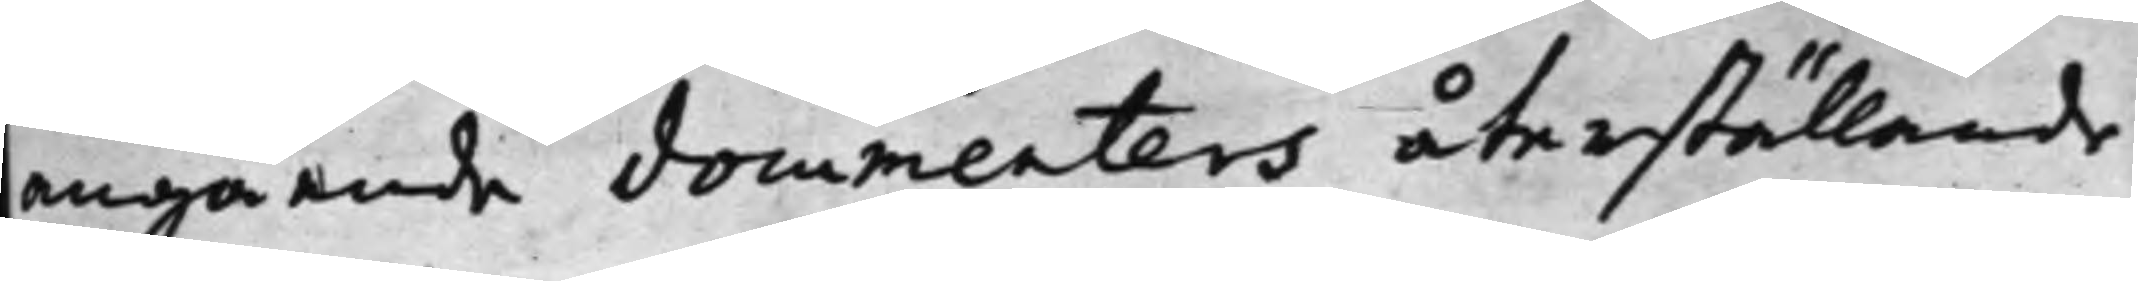angående documenters återställande
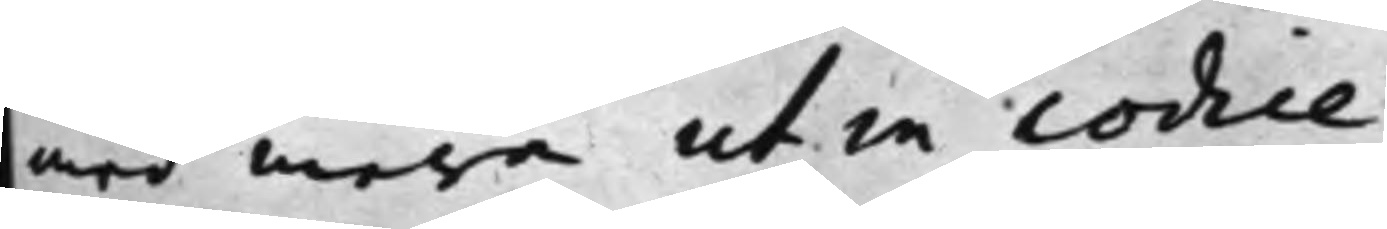med mera utin codice.
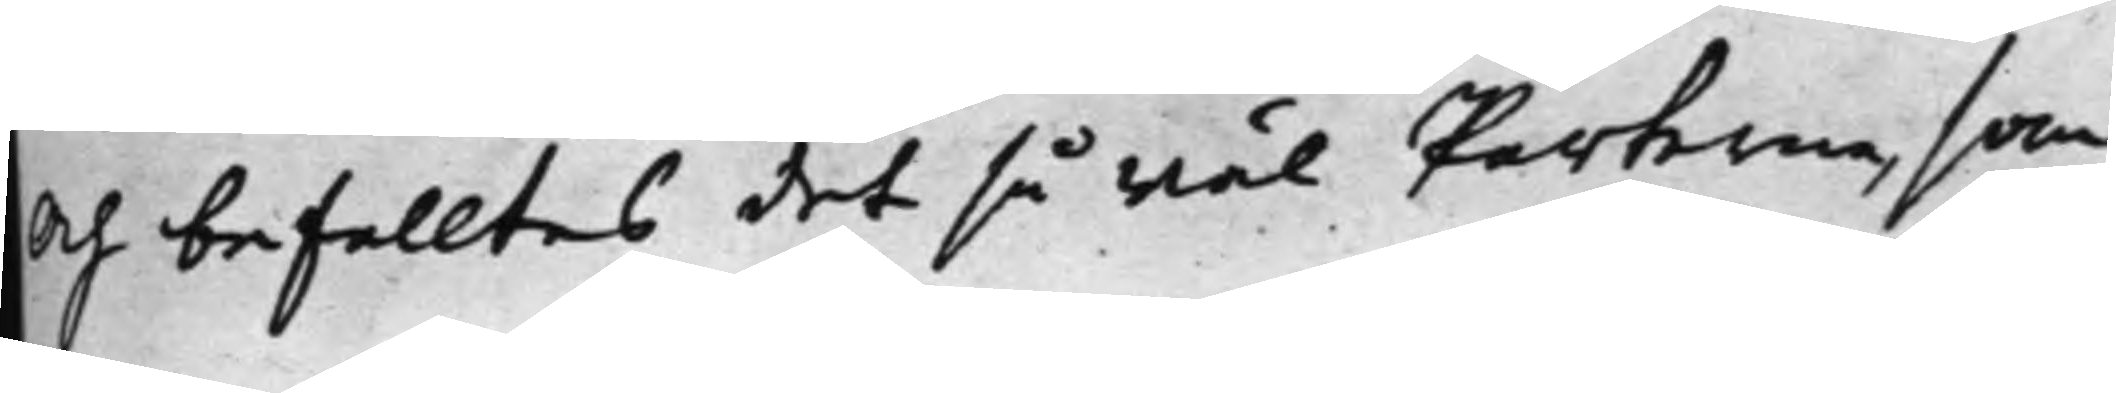och befalltes det så wäl Parterna, som
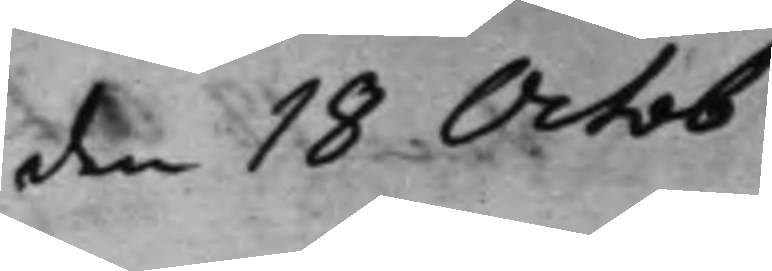den 18 Octob.
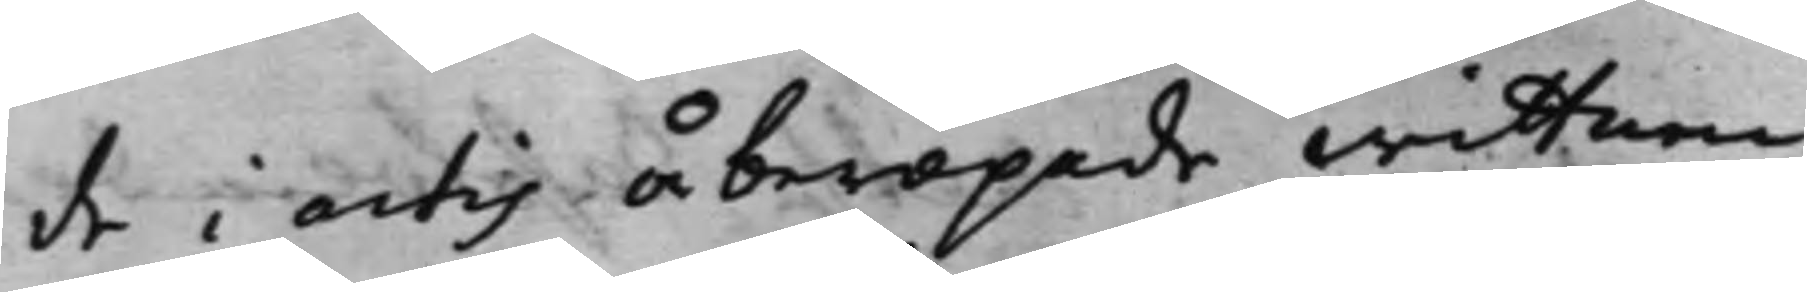de i actis åberopade wittnen K¬
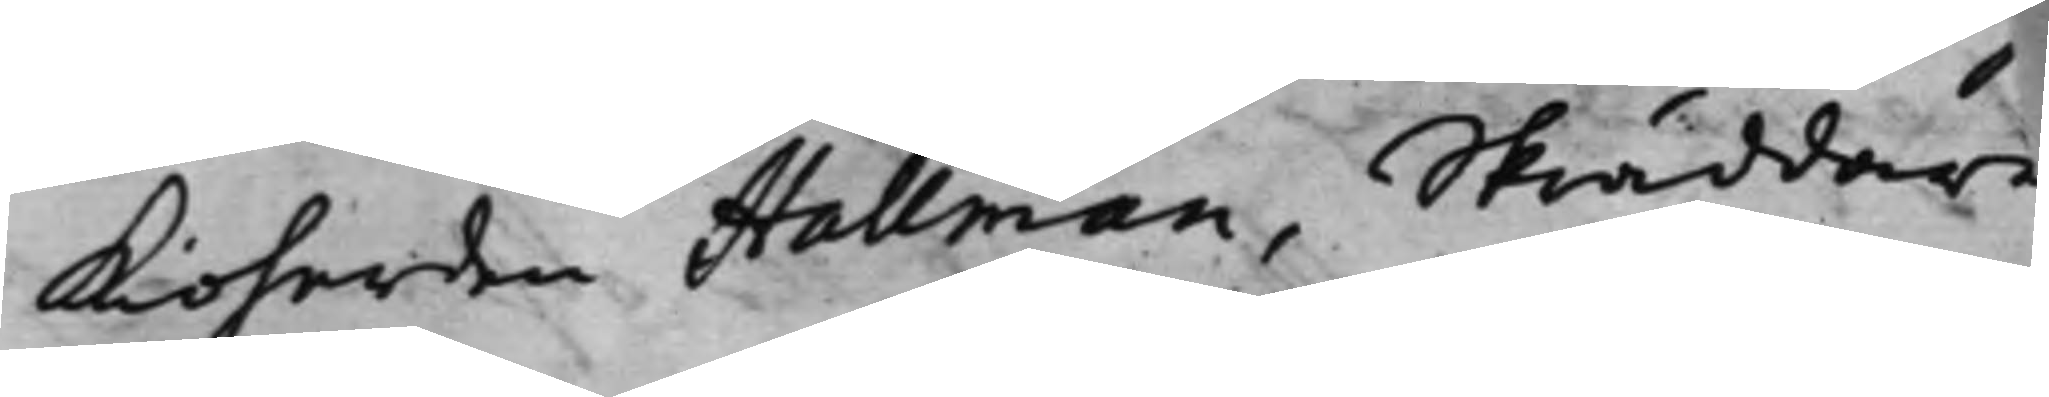kioherden Hallman, Skräddare
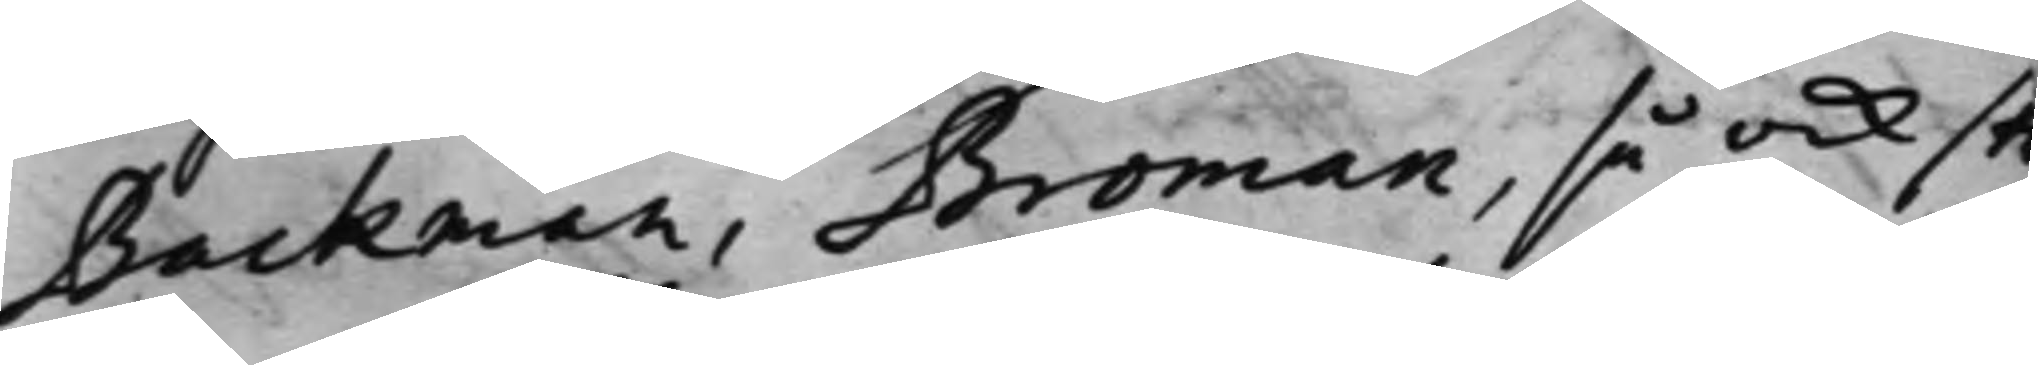Backman, Broman, så ock sk¬
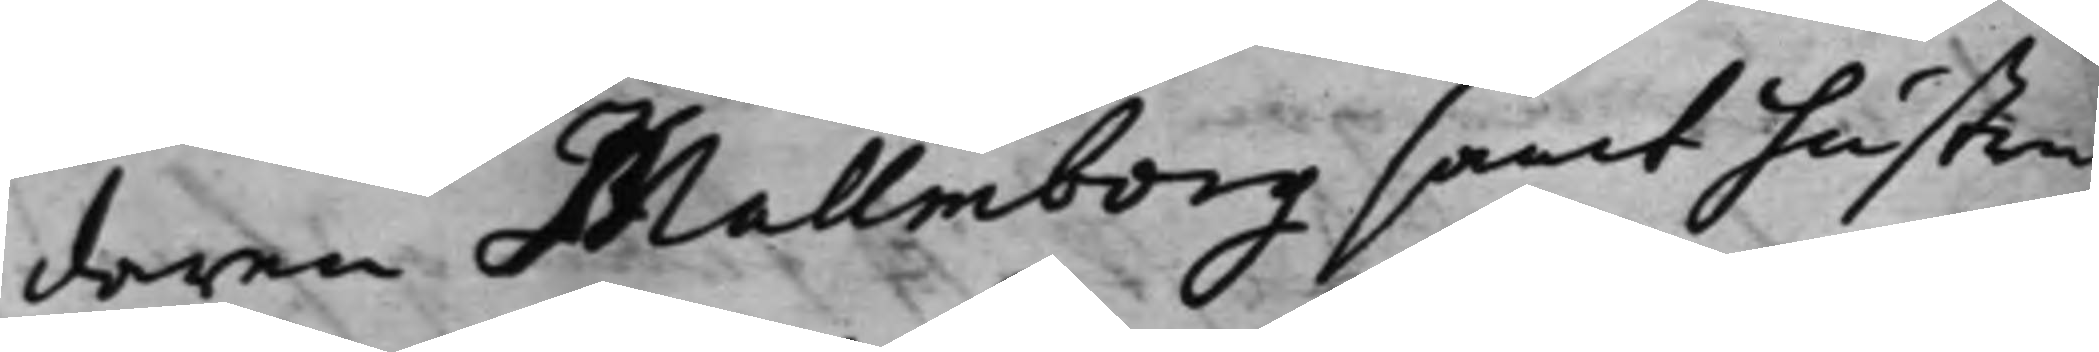daren Mallmborg samt hustru
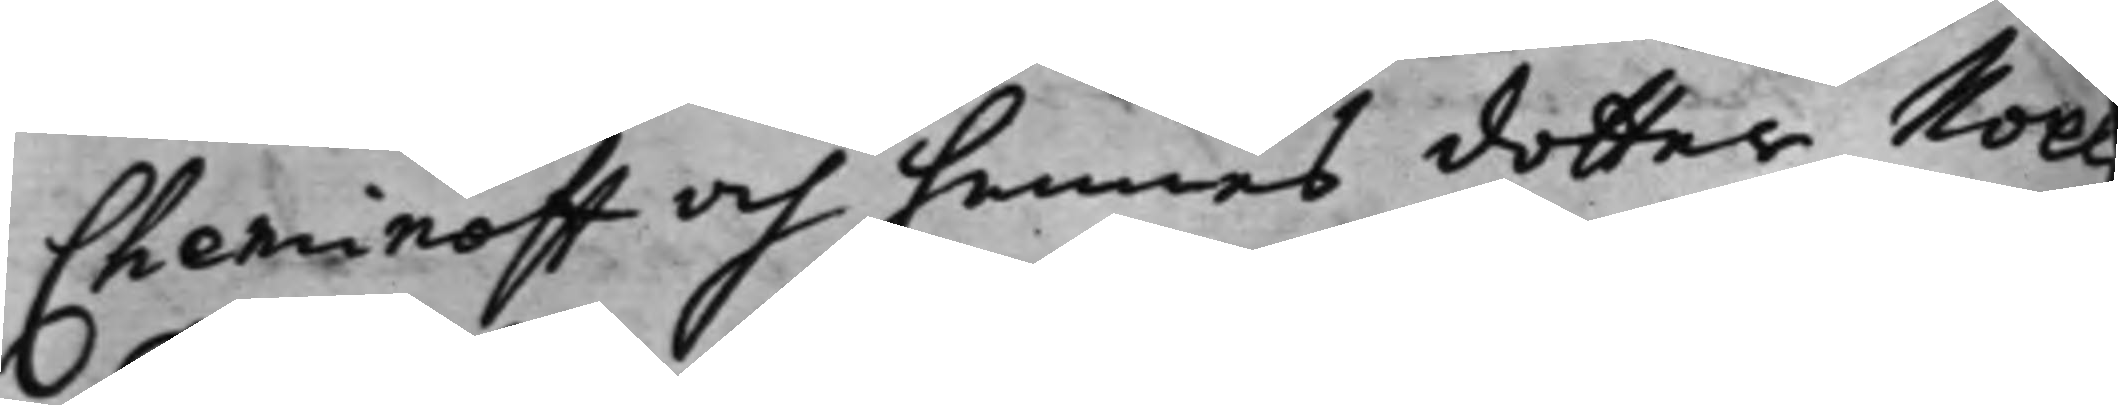Cheminoff och hennes dotter Noel
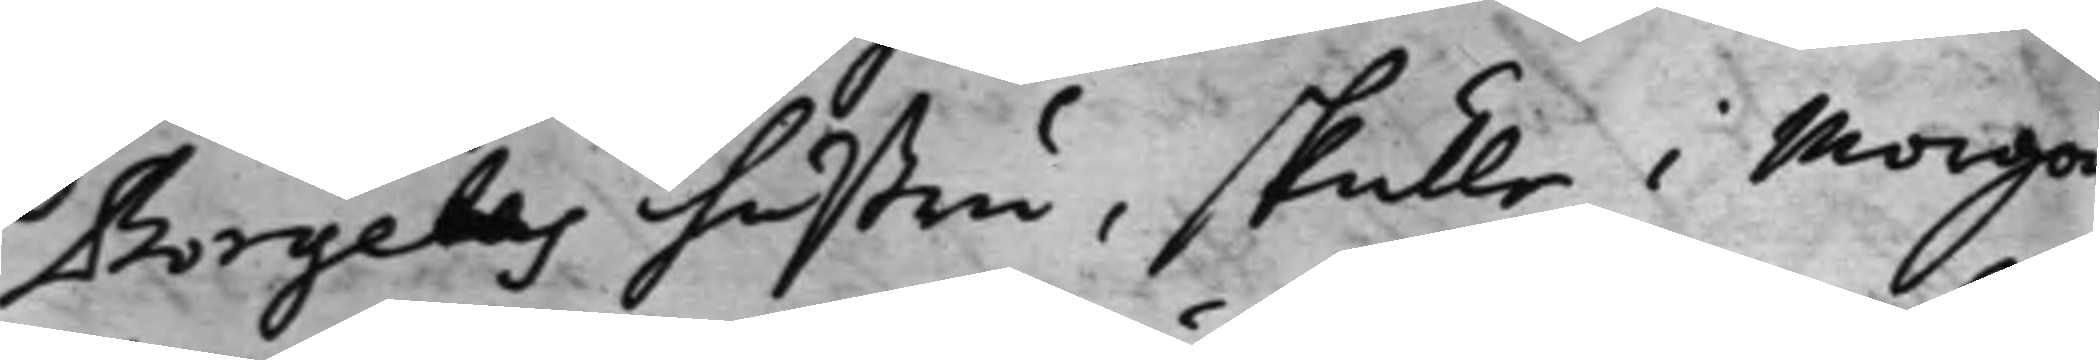Borgelas hustru, skulle i morgon
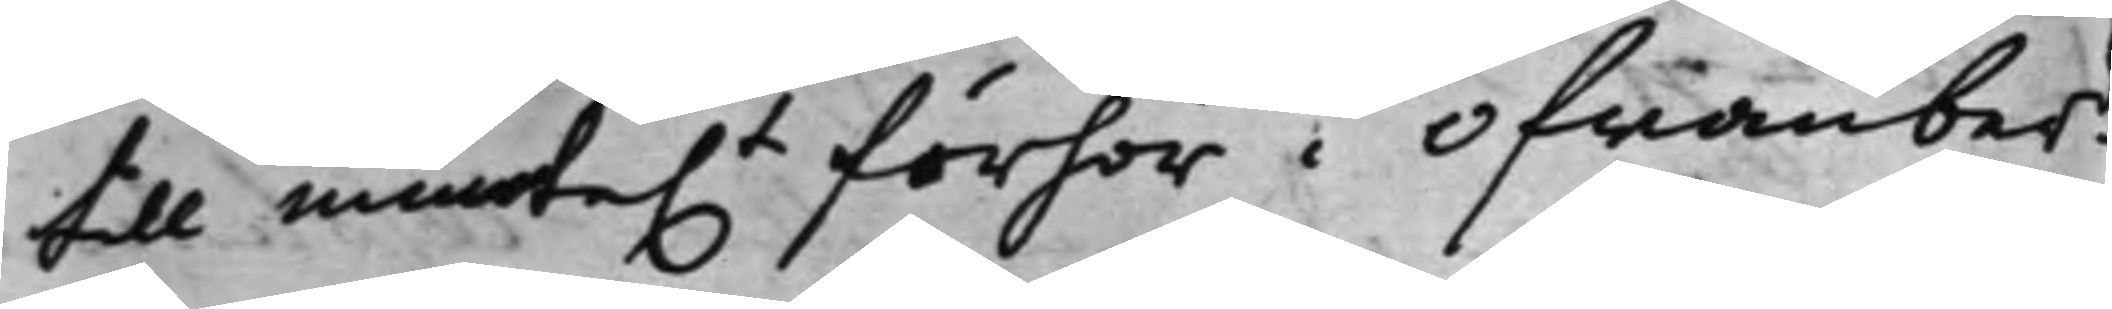till munte.t förhör i ofwanberd
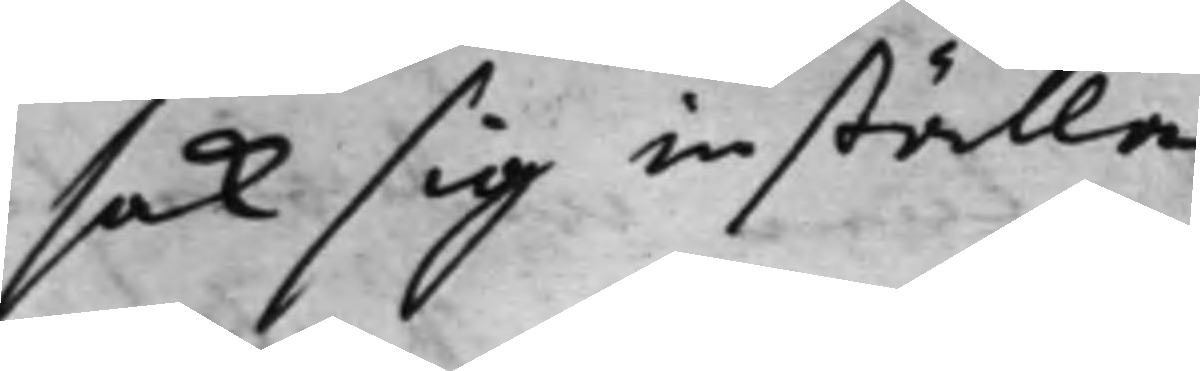sak sig inställa.
